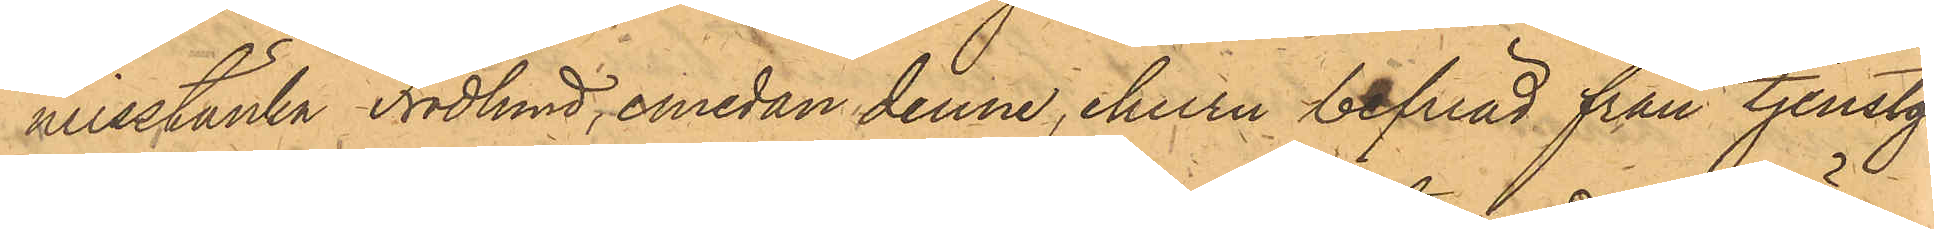misstänka Frodlund, emedan denne, ehuru befriad från tjenstgö¬
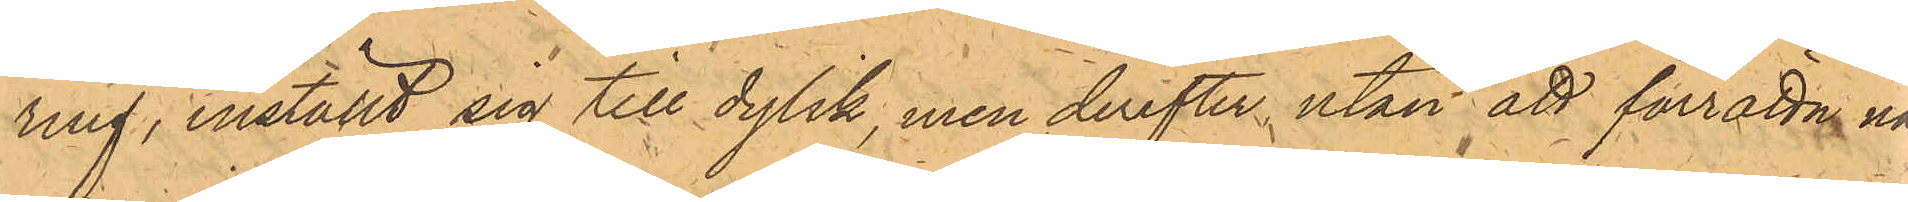ring, inställt sig till dylik, men derefter utan att förrätta nå¬
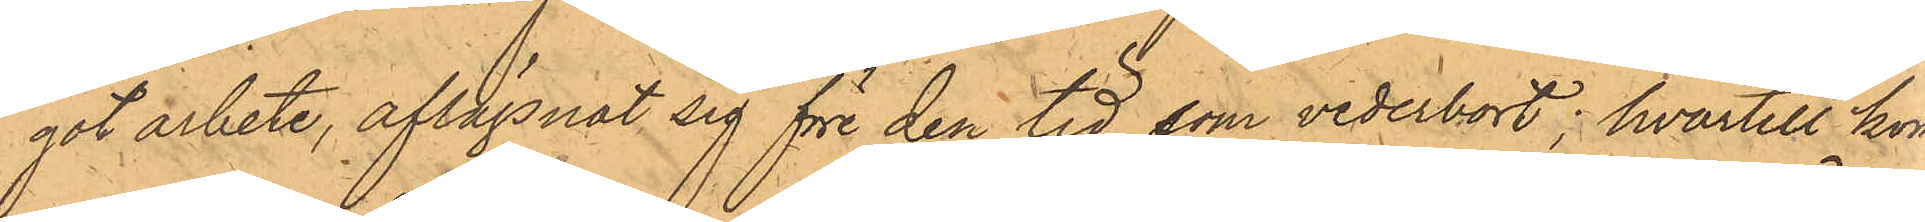got arbete, aflägsnat sig före den tid, som vederbort; hvartill kon¬
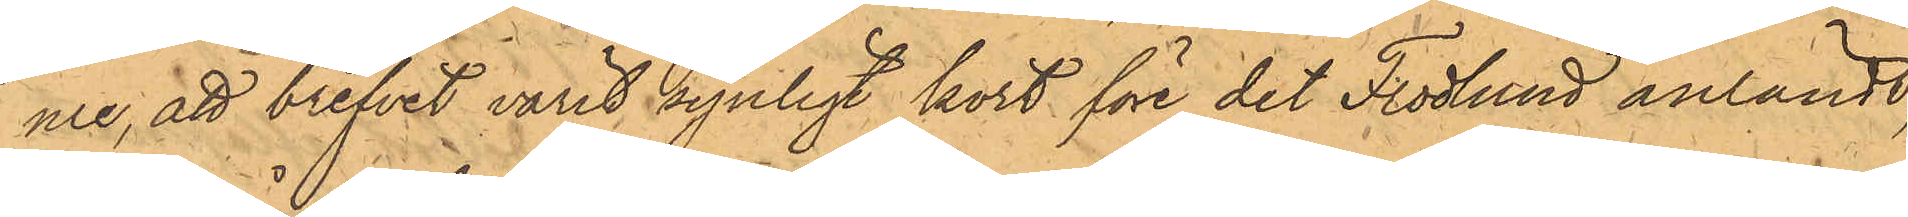me, att brefvet varit synligt kort före det Frodlund anländt,
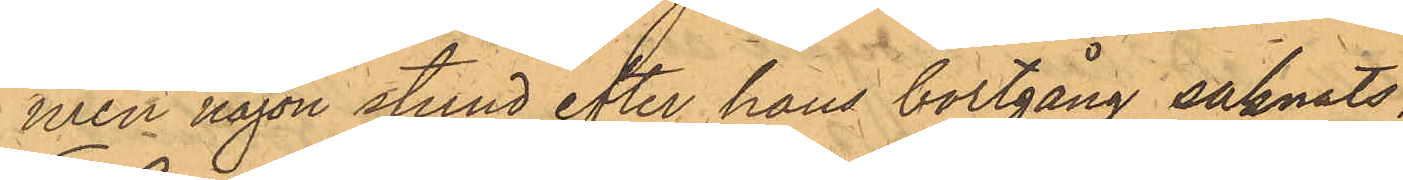men någon stund efter hans bortgång saknats:
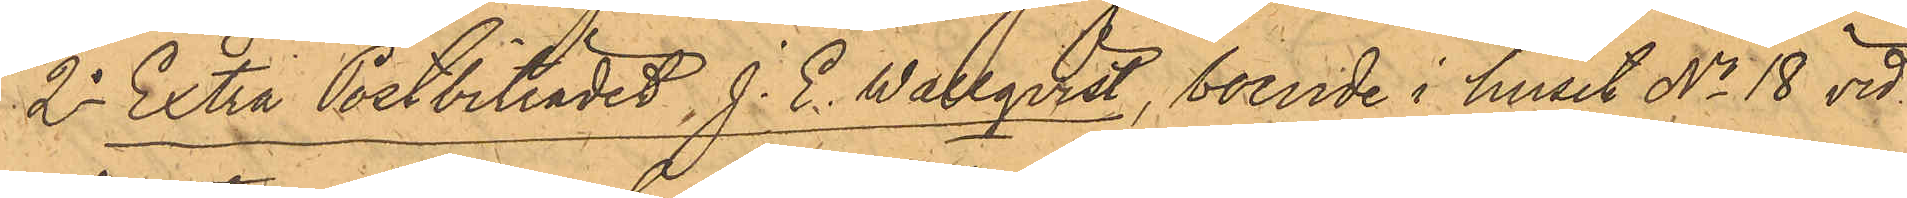2o Extra Postbiträdet J. E. Wallqvist, boende i huset No 18 vid
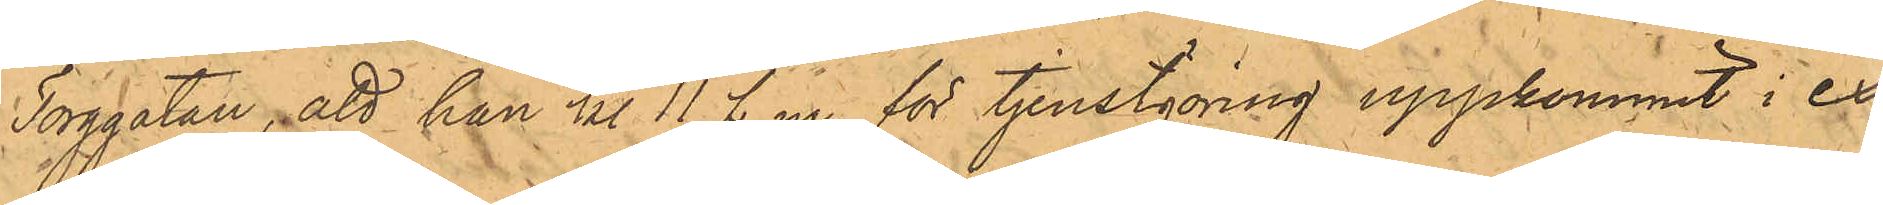Torggatan, att han kl. 11 f.m. för tjenstgöring uppkommit i ex¬
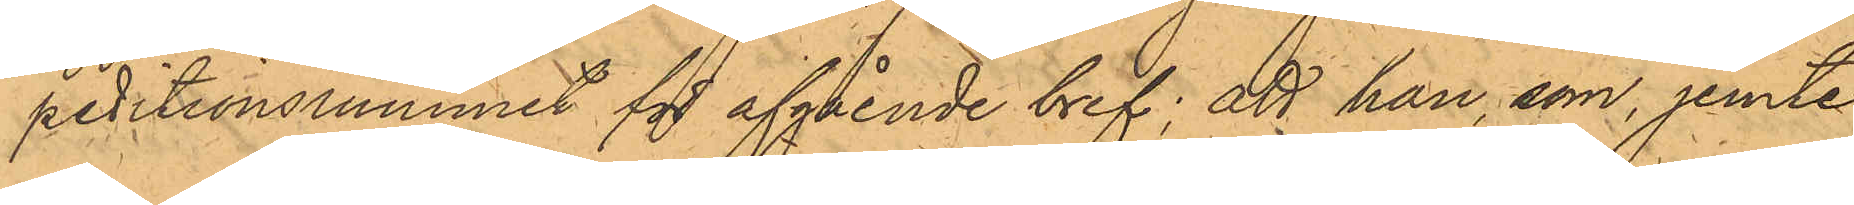peditionrummet för afgående bref; att han, som, jemte
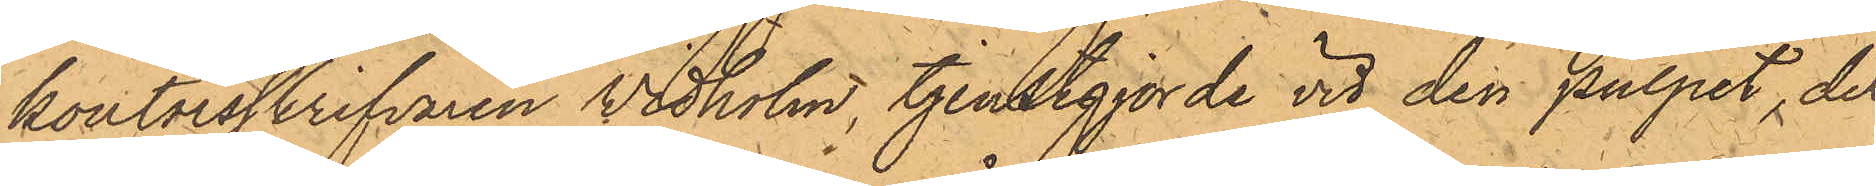kontorsskrifvaren Vidholm, tjenstgjorde vid den pulpet, der
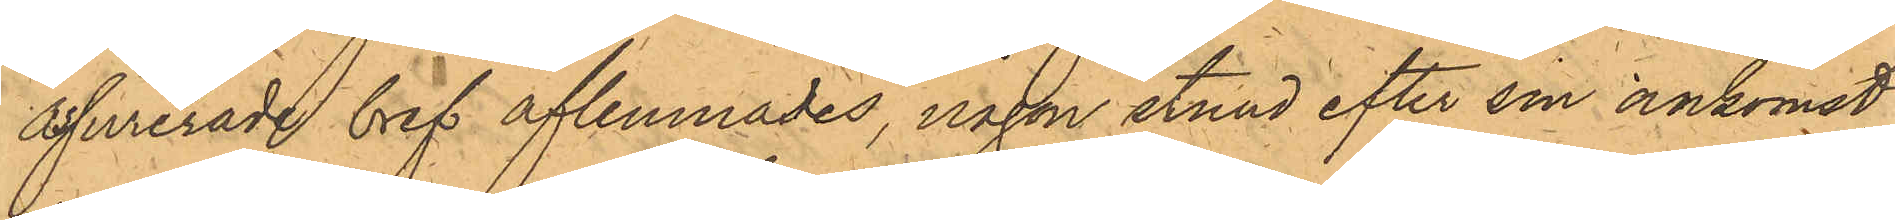assurerade bref aflemnades, någon stund efter sin ankomst
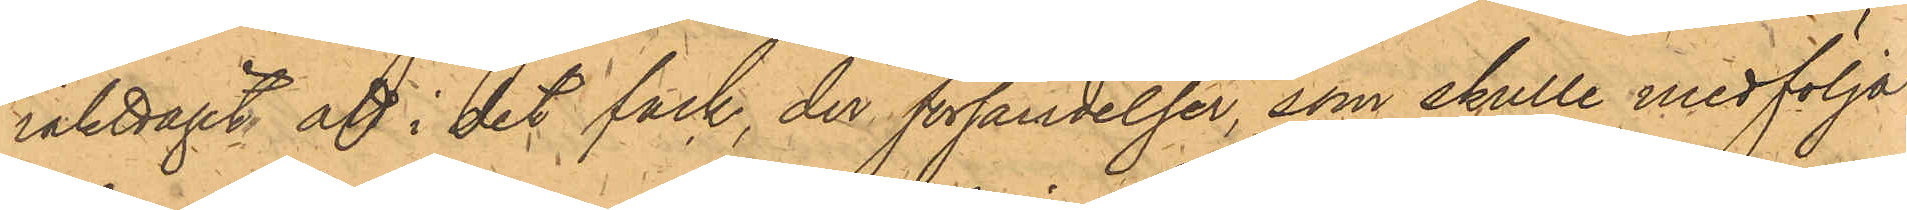iakttagit att i det fack, der försändelser, som skulle medfölja
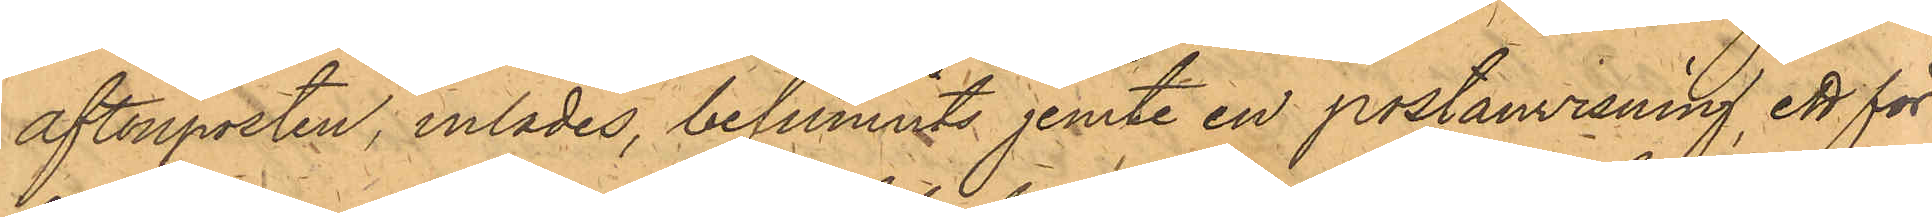aftonposten, inlades, befunnits jemte en postanvisning, ett för
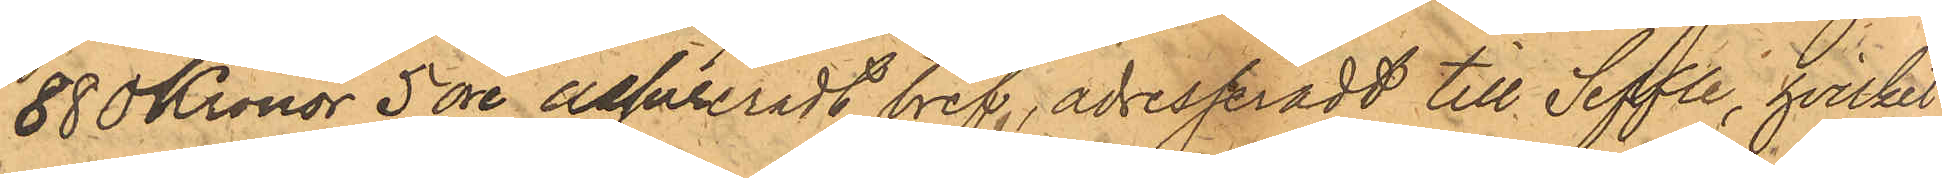880 Kronor 5 öre assureradt bref, adresseradt till Seffle, hvilket
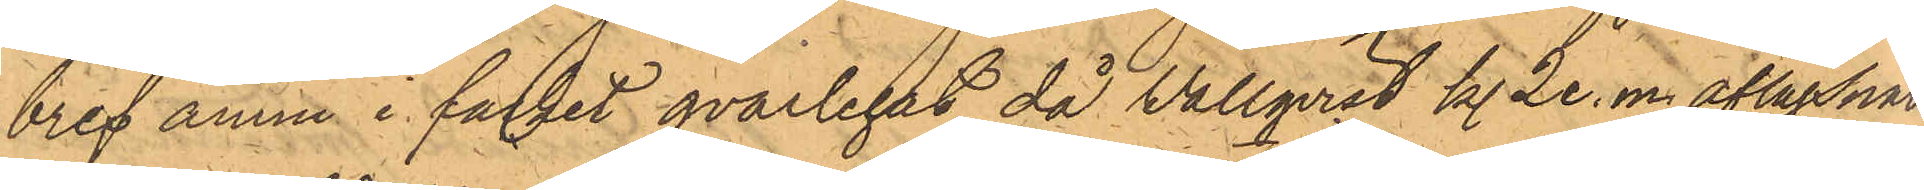bref ännu i facket qvarlegat, då Vallqvist kl. 2 e. m. aflägsnat
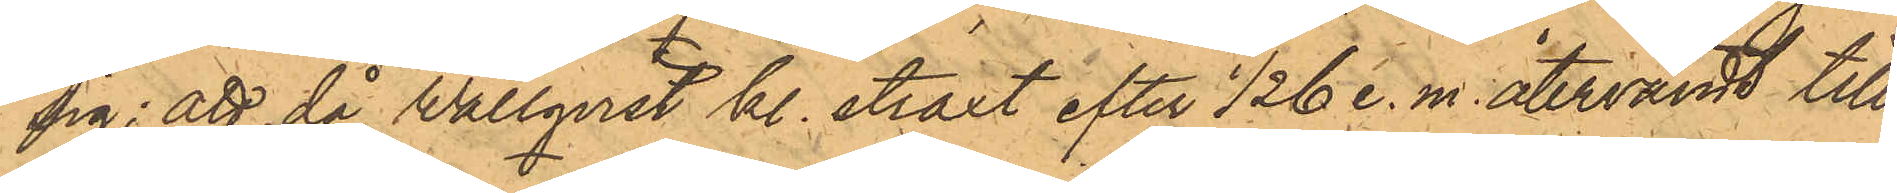sig; att då Wallqvist kl. straxt efter 1/2 6 e. m. återvändt till
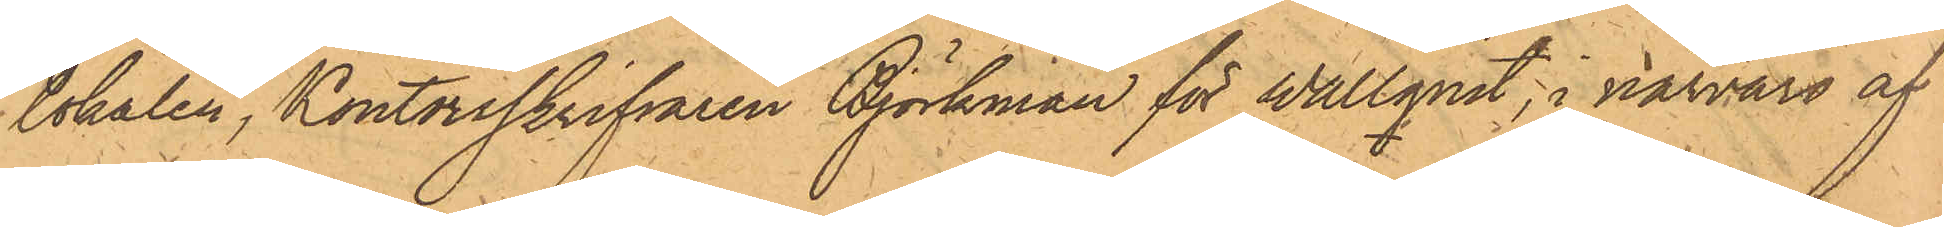lokalen, Kontorsskrifvaren Björkman för Wallqvist, i närvaro af
